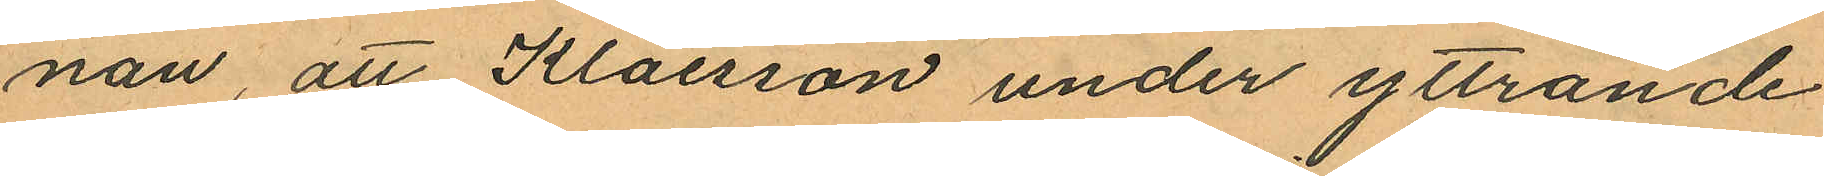nan, att Klaesson under yttrande
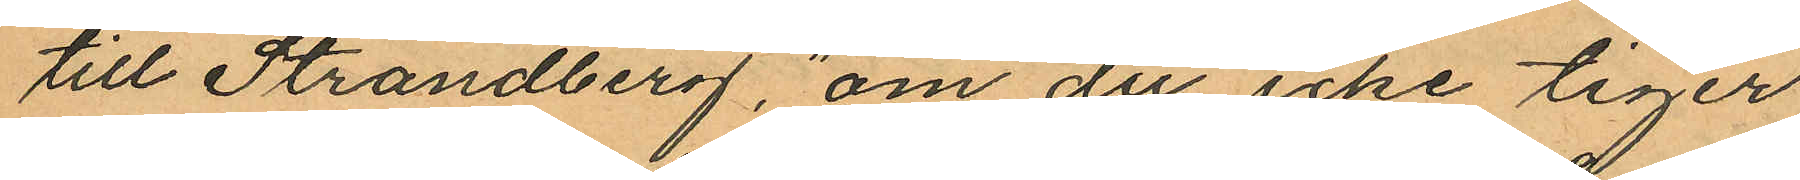till Strandberg, "om du icke tiger
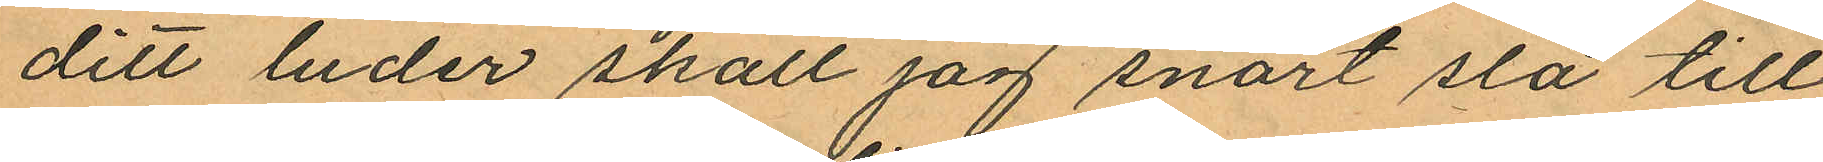ditt luder skall jag snart slå till
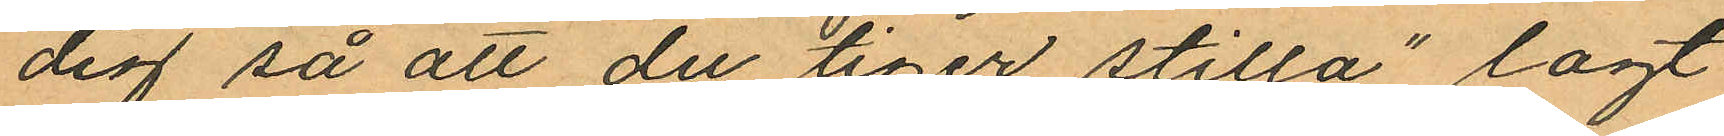dig så att du tiger stilla" lagt
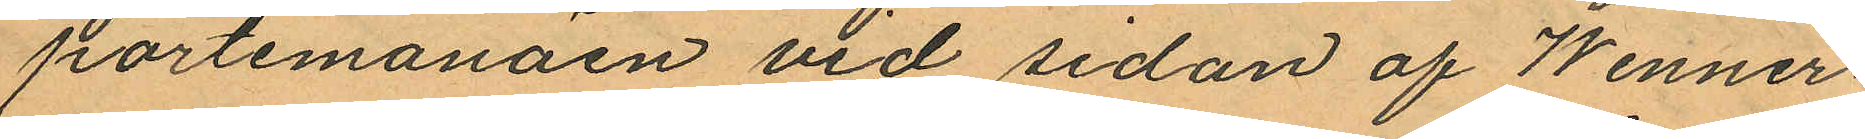portemonäen vid sidan af Wenner¬
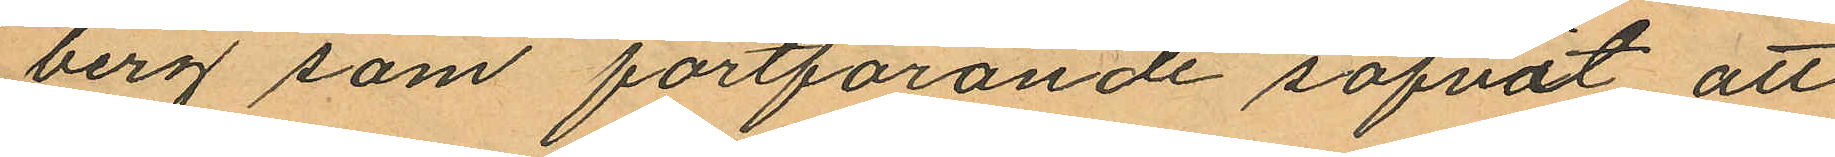berg som fortförande sofvit att
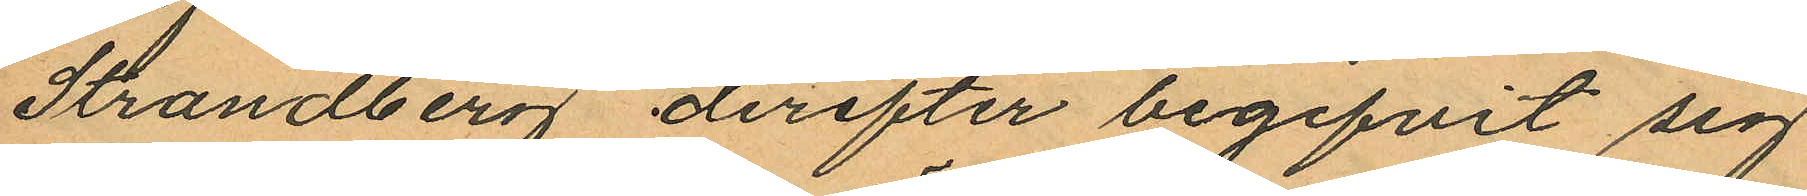Strandberg derefter begifvit sig
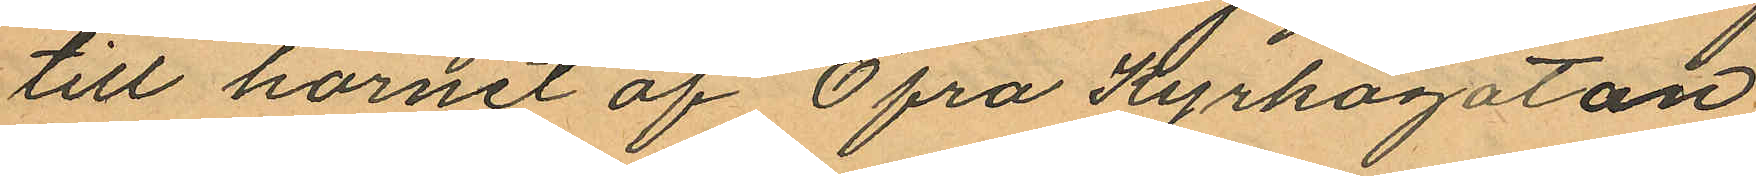till hörnet af Öfra Kyrkogatan
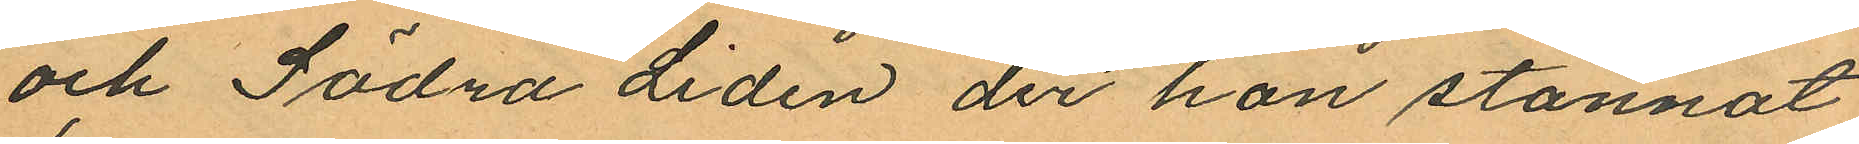och Södra Liden der han stannat
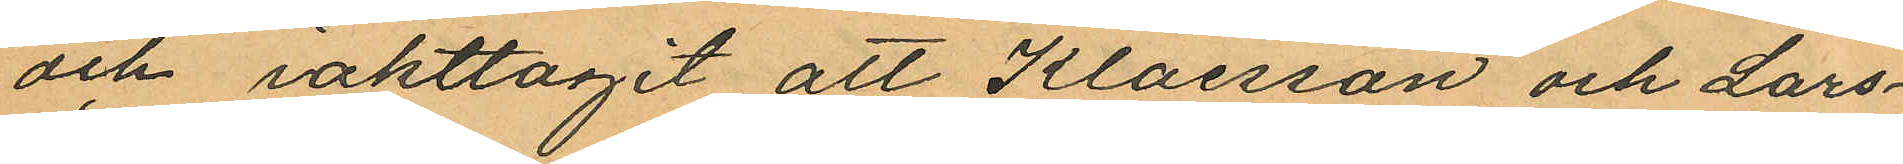och iakttagit att Klaesson och Lars¬
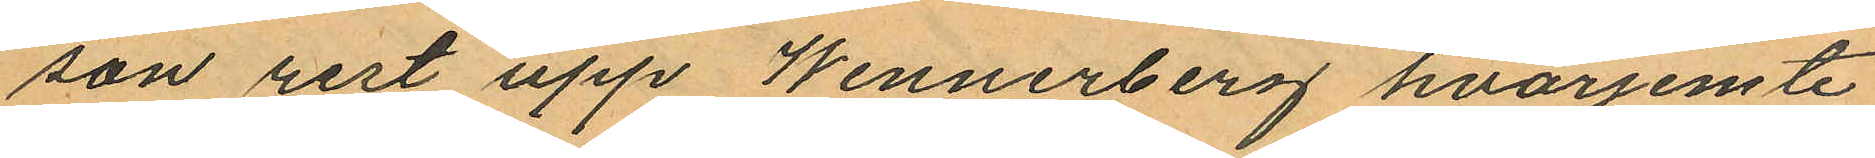son rest upp Wennerberg hvarjemte
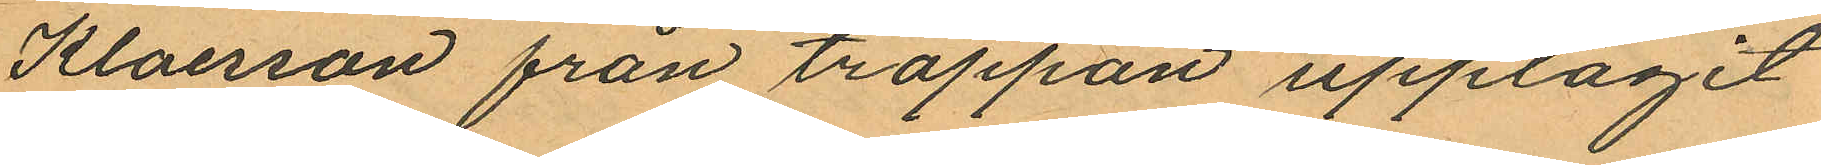Klaesson från trappan upptagit
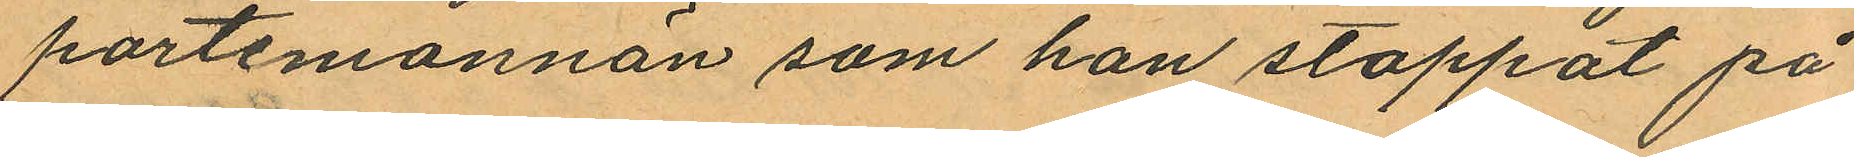portemonnän som han stoppat på
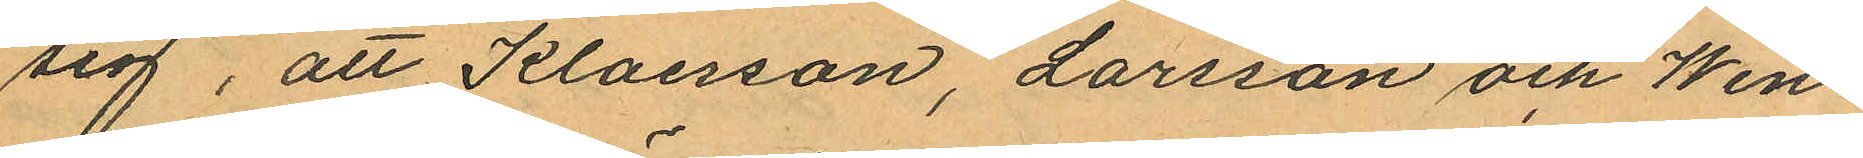sig, att Klaesson, Larsson och Wen¬
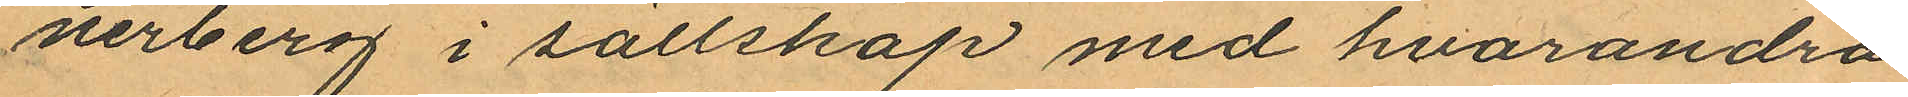nerberg i sällskap med hvarandra
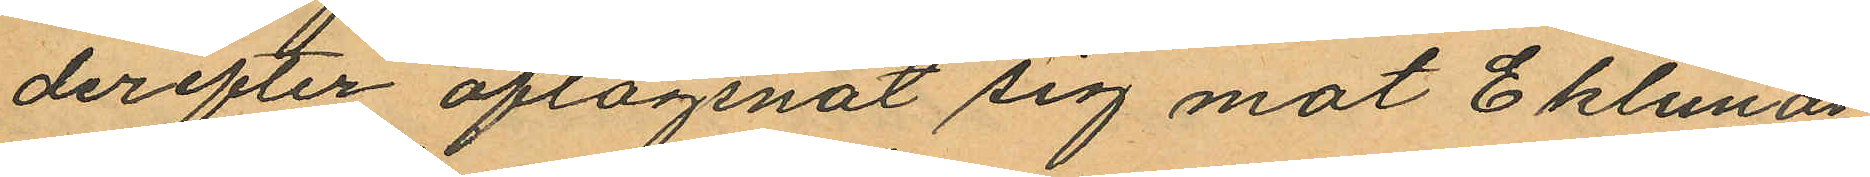derefter aflägsnat sig mot Eklunds¬
